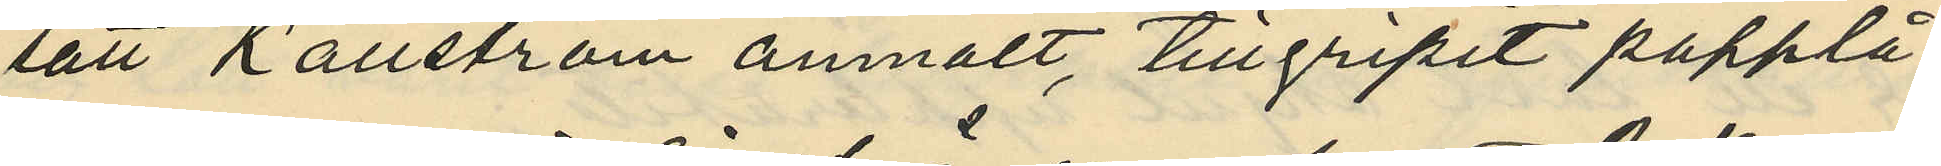sätt Källström anmält, tillgripit papplå¬
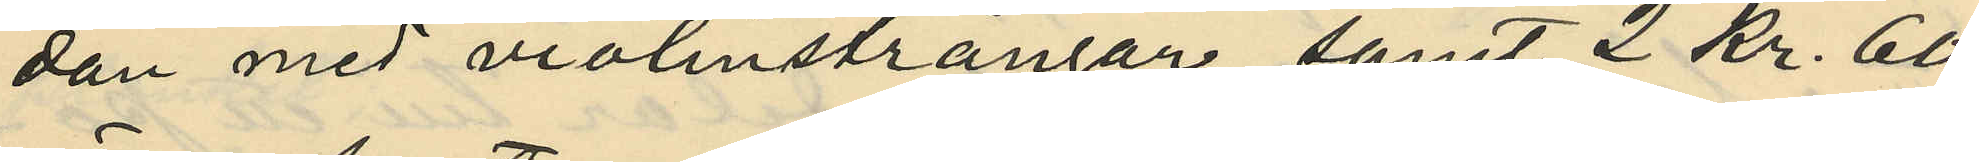dan med violinsträngar samt 2 Kr. 60
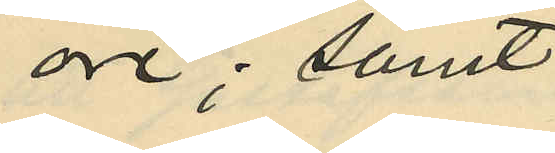öre; samt
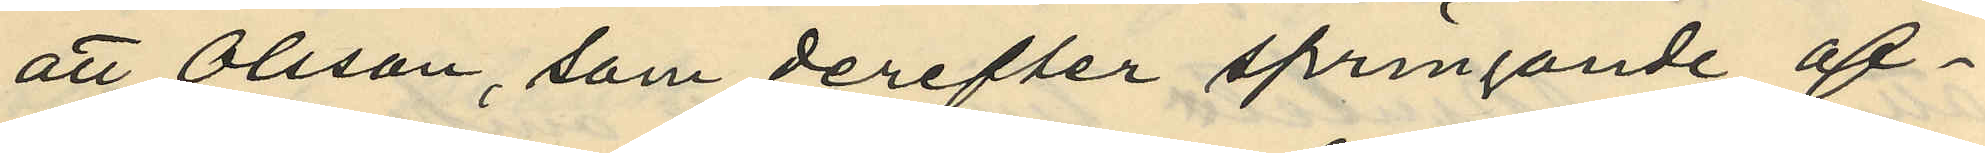att Olsson, som derefter springande af¬
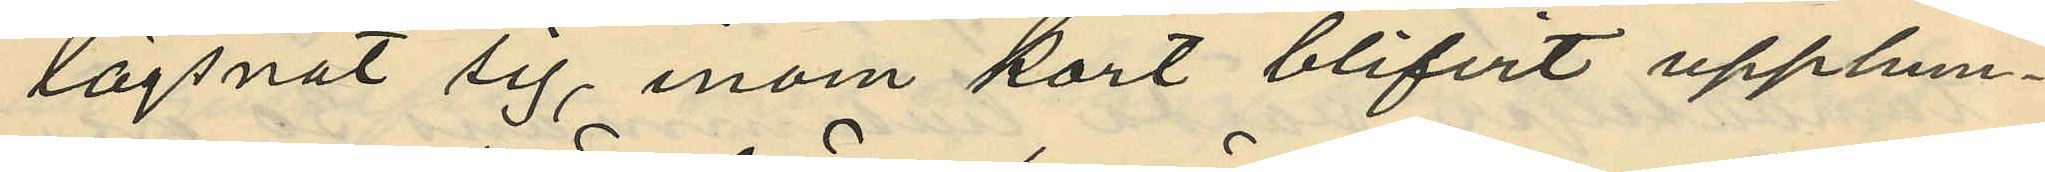lägsnat sig, inom kort blifvit upphun¬
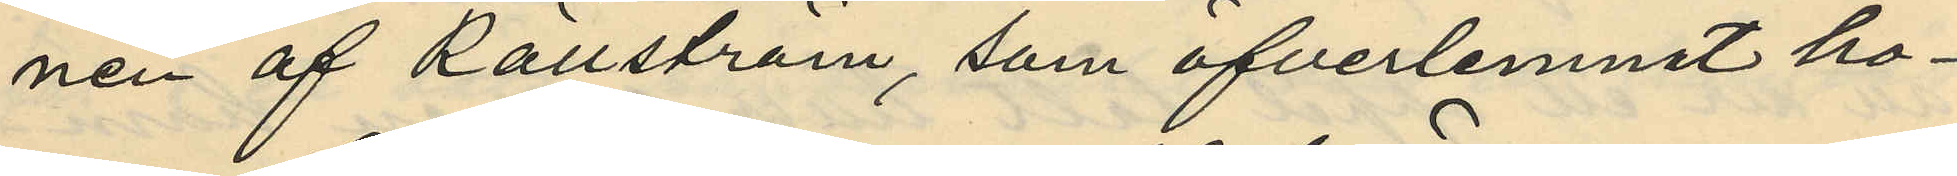nen af Källström, som öfverlemnat ho¬
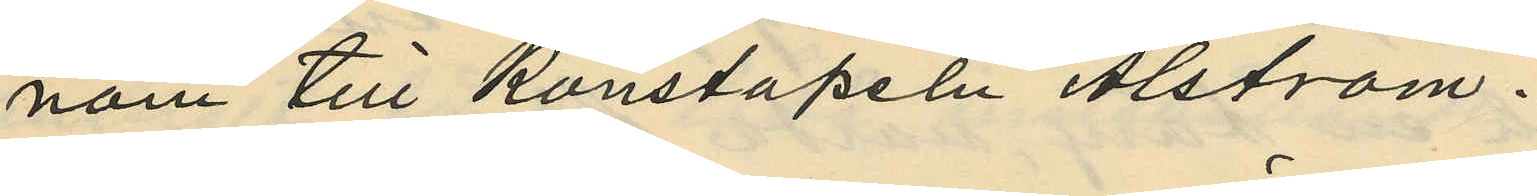nom till Konstapeln Alström.
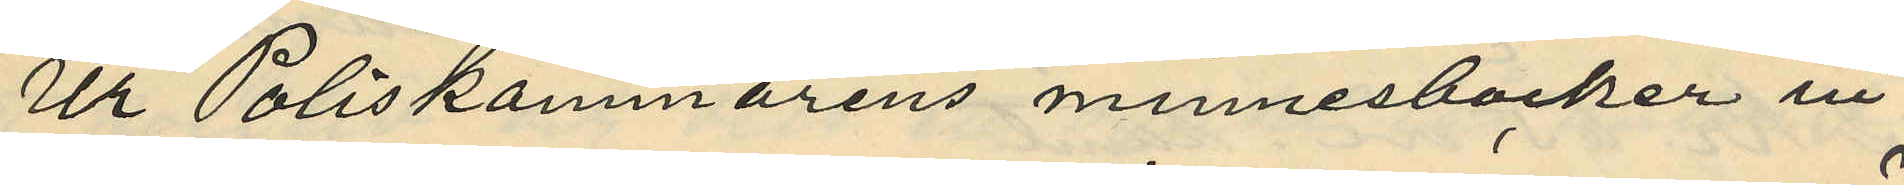Ur Poliskammarens minnesböcker in¬
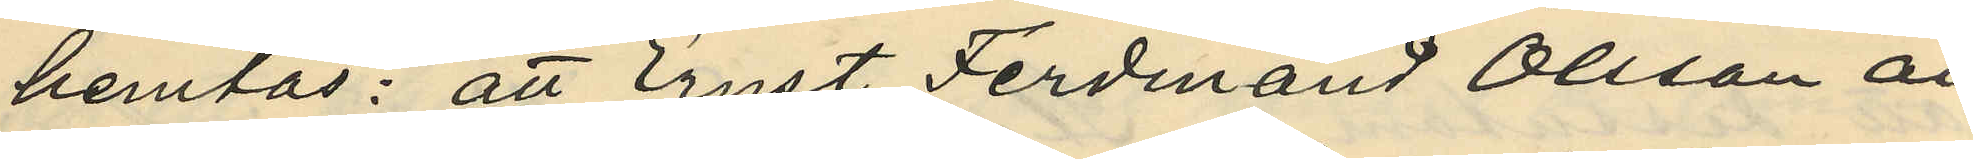hemtas: att Ernst Ferdinand Olsson är
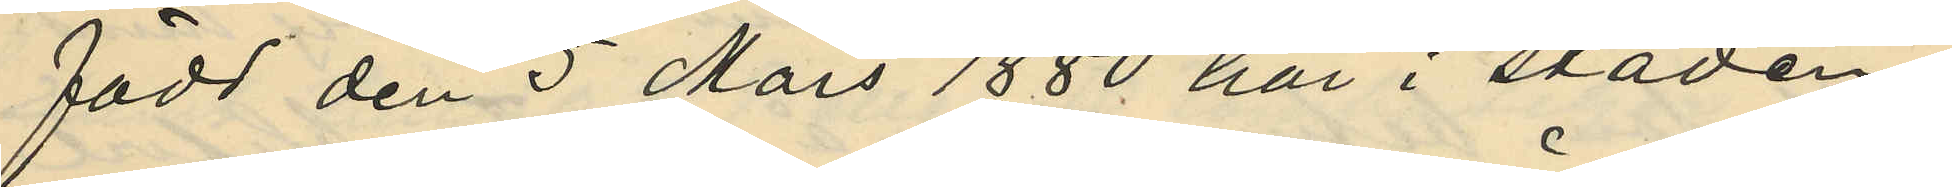född den 5 Mars 1880 här i staden;
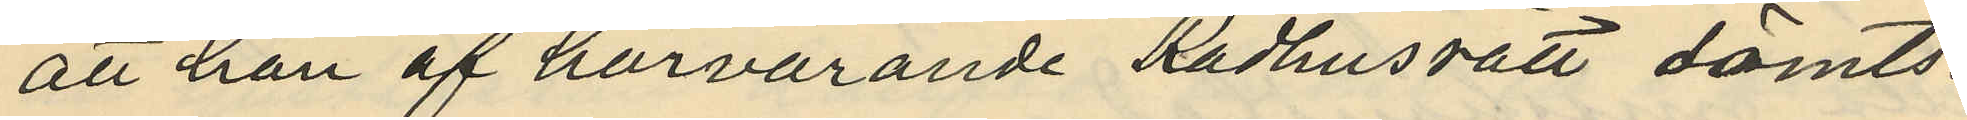att han af härvarande Rådhusrätt dömts:
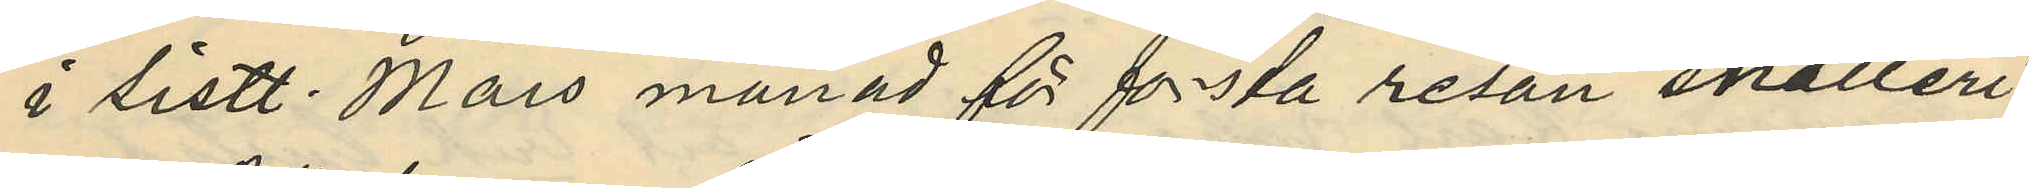i sistl. Mars månad för första resan snatteri
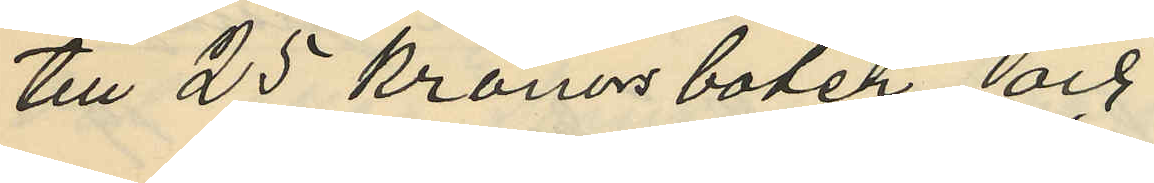till 25 kronors böter och
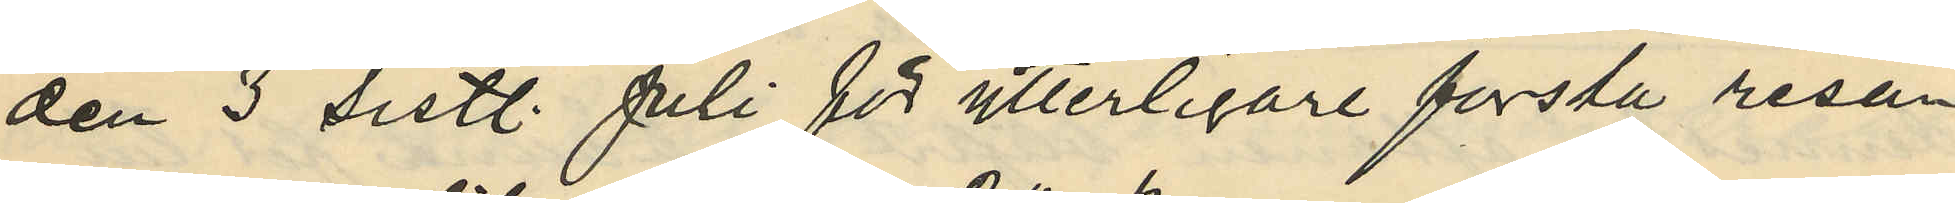den 3 sistl. Juli för ytterligare första resan
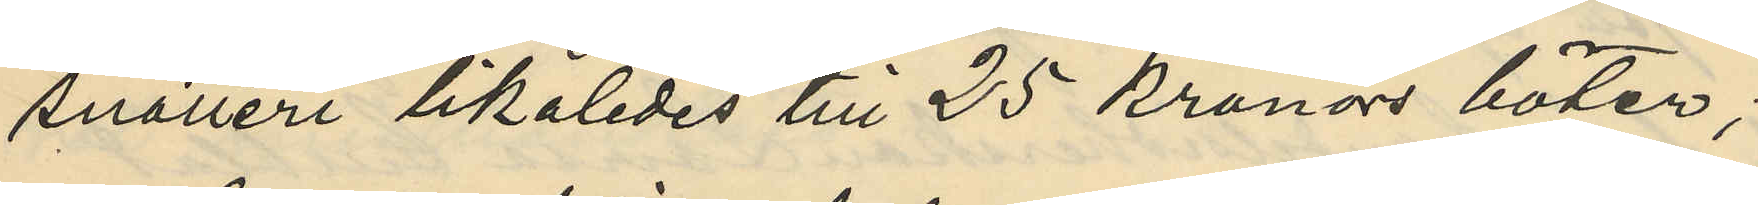snatteri likaledes till 25 kronors böter;
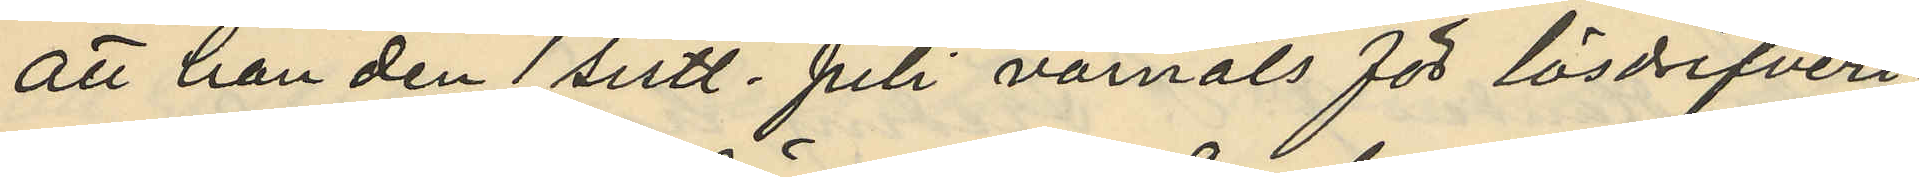att han den 1 sistl. Juli varnats för lösdrifveri
